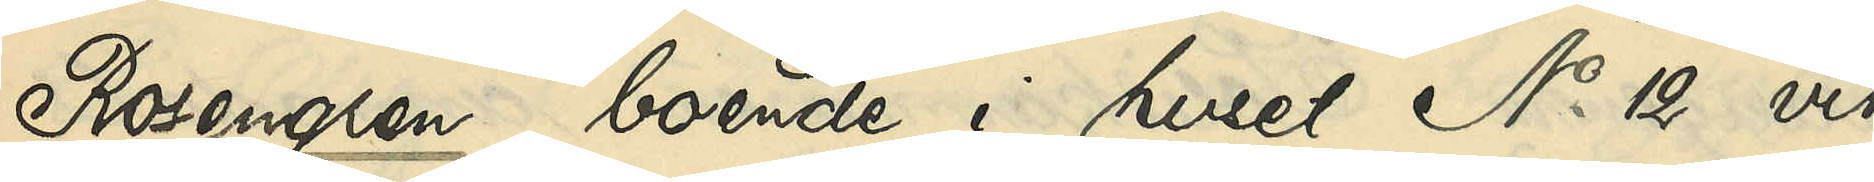Rosengren, boende i huset No 12 vid
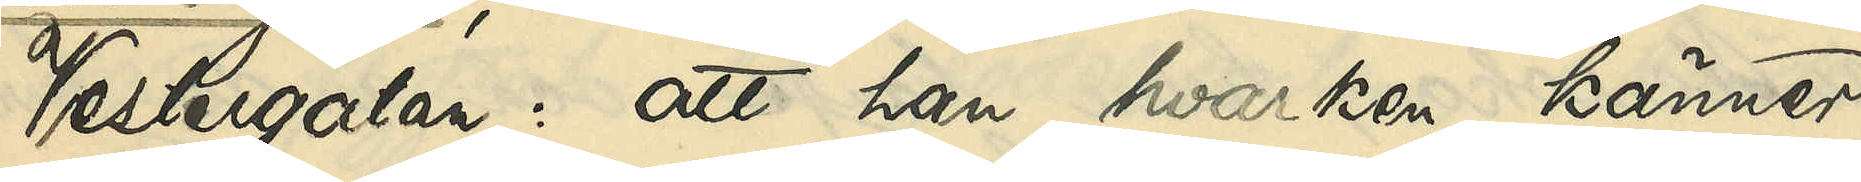Vestergatan: att han hvarken känner
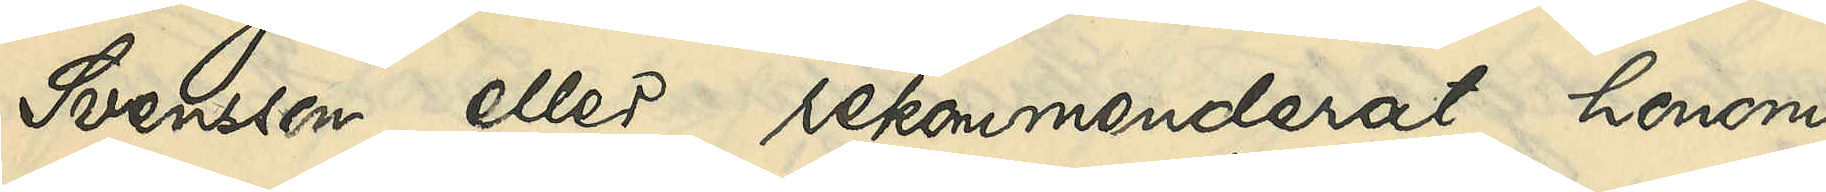Svensson eller rekommenderat honom
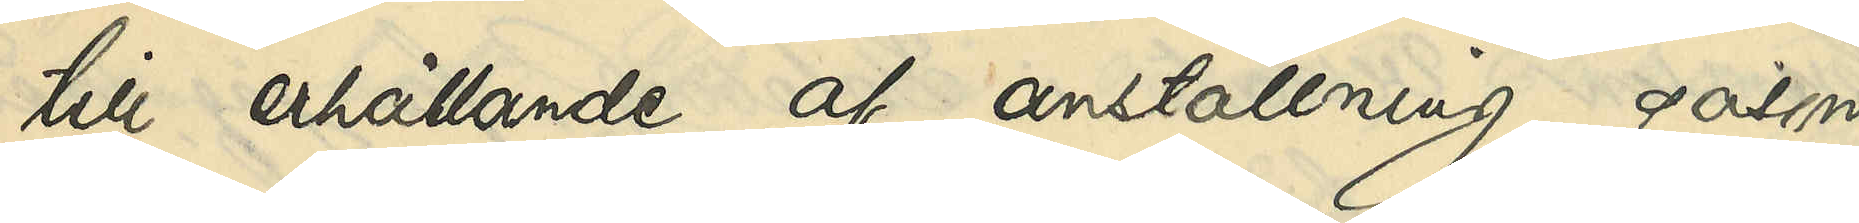till erhållande af anställning, såsom
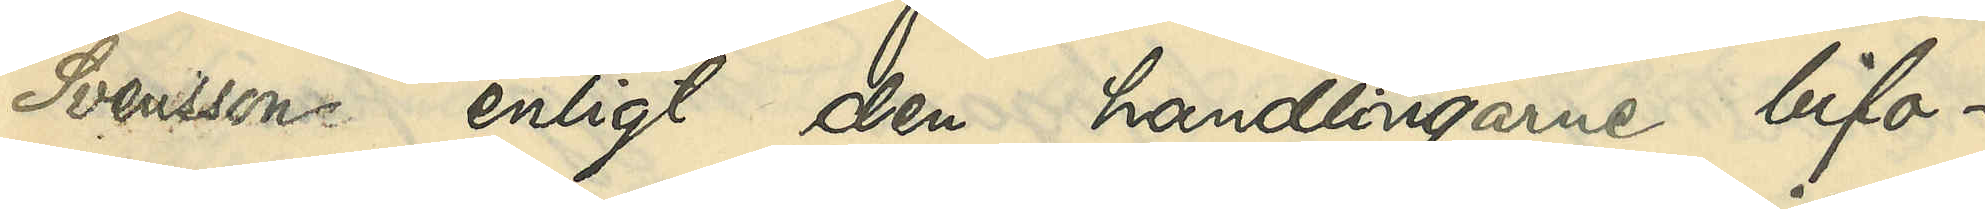Svensson enligt den handlingarne bifo¬
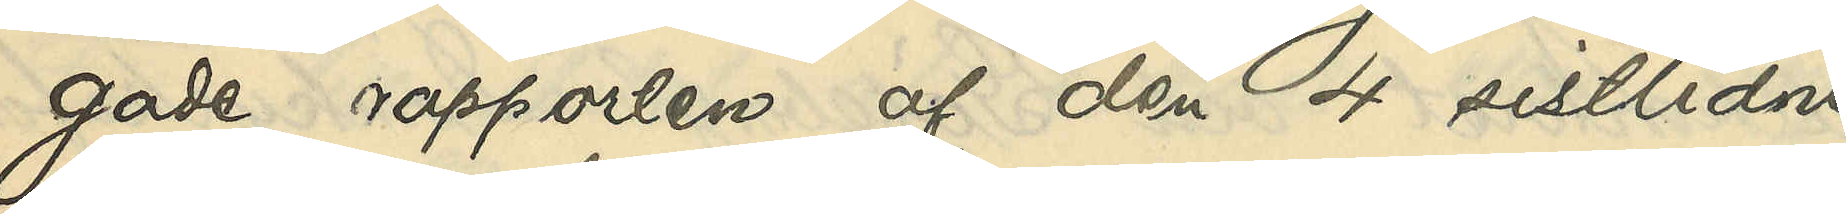gade rapporten af den 4 sistlidne
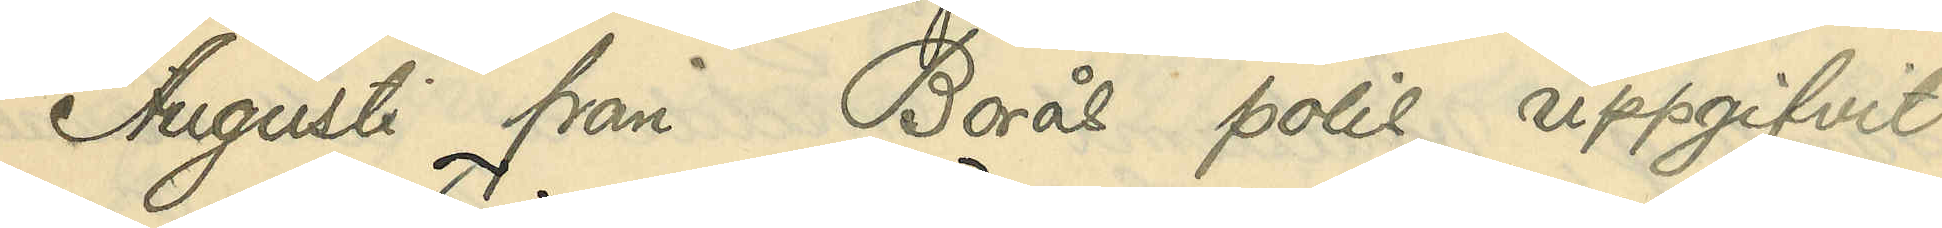Augusti från Borås polis uppgifvit.
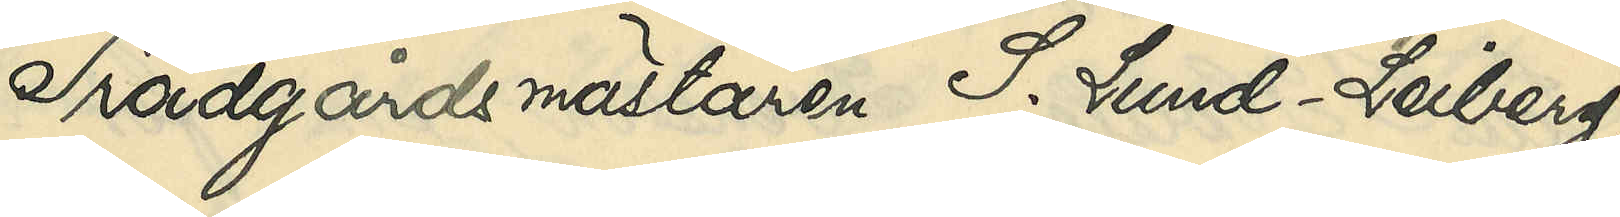Trädgårdsmästaren S. Lund - Leiberg,
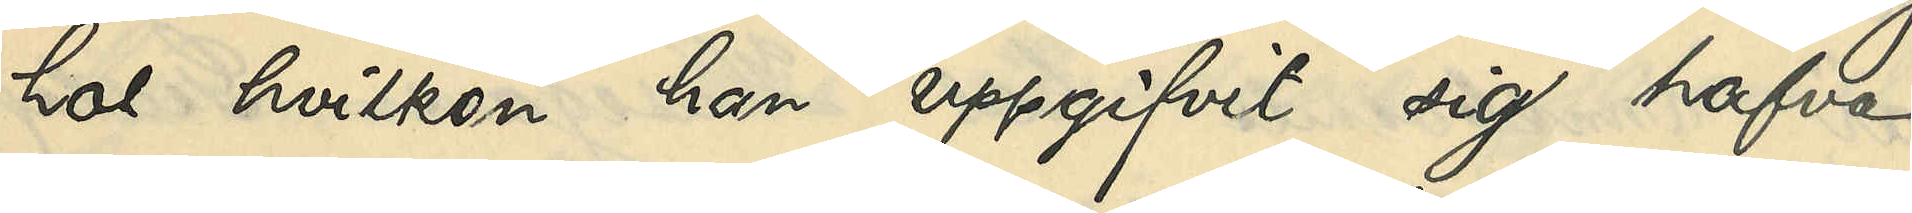hos hvilken han uppgifvit sig hafva
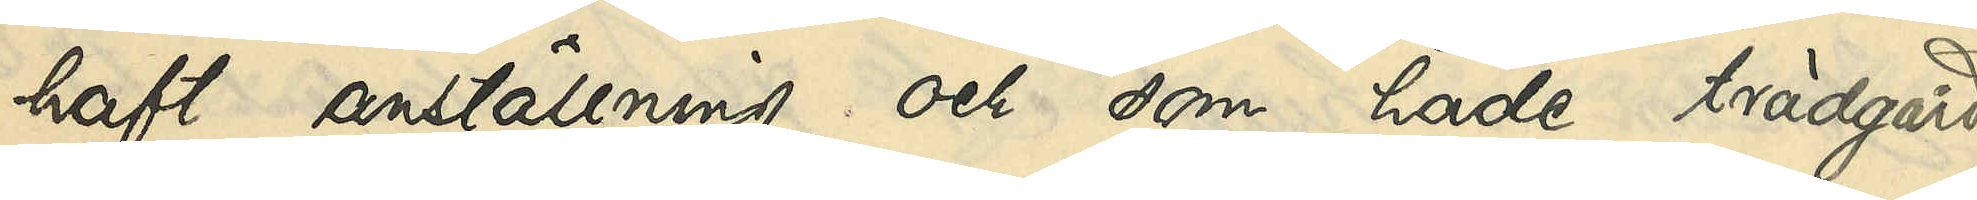haft anställning och som hade trädgård
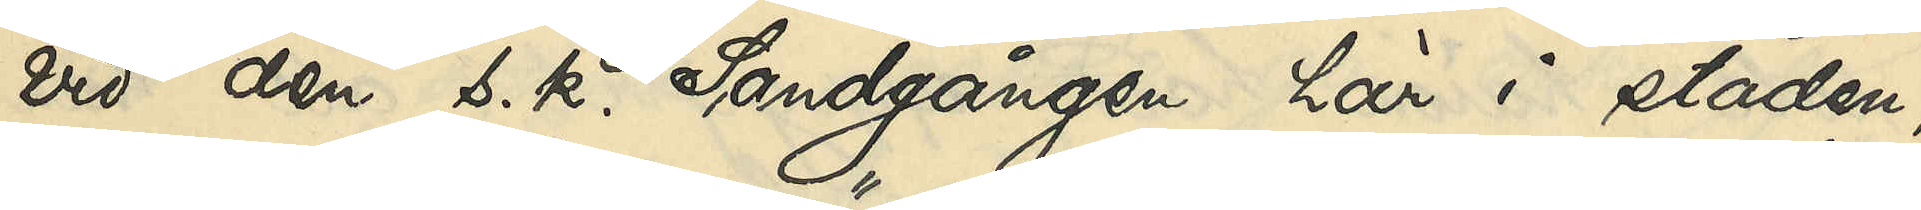vid den s. k. Sandgången här i staden
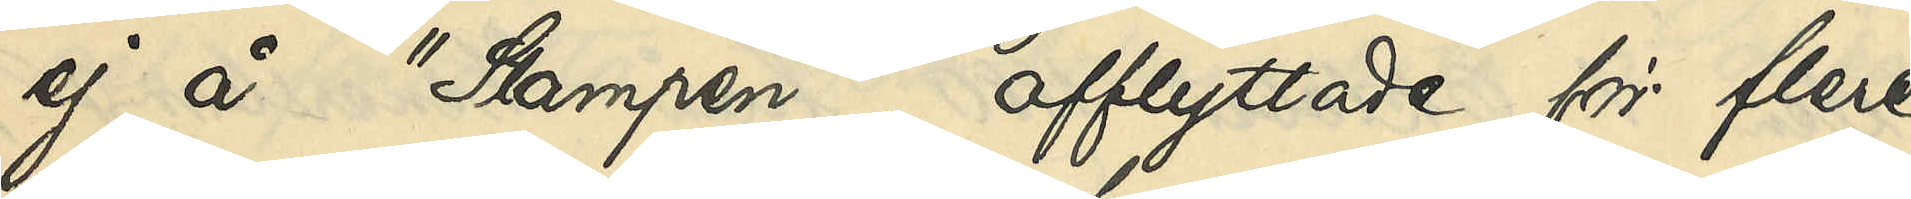ej å "Stampen", afflyttade för flere
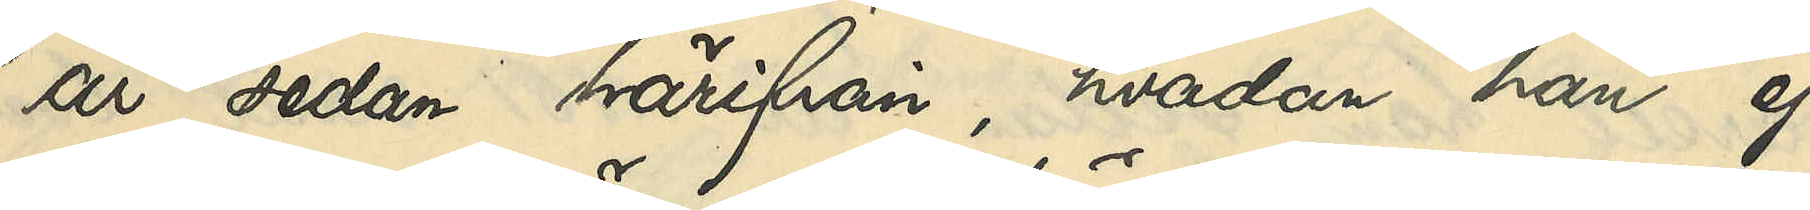år sedan härifrån, hvadan han ej
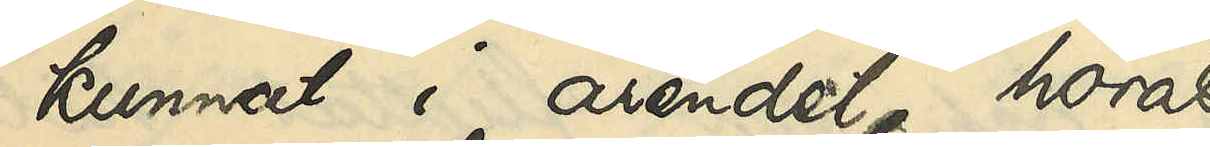kunnat i ärendet höras.
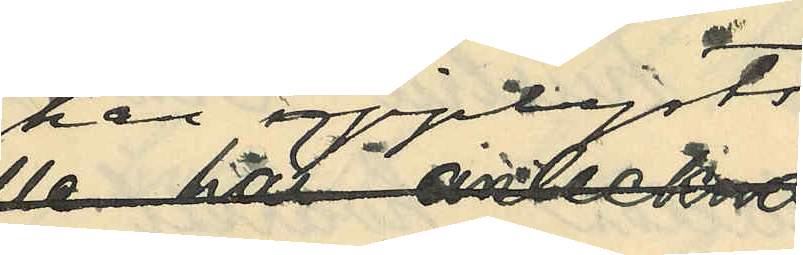har upplysts 
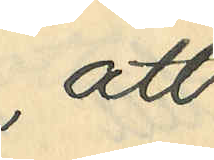att
